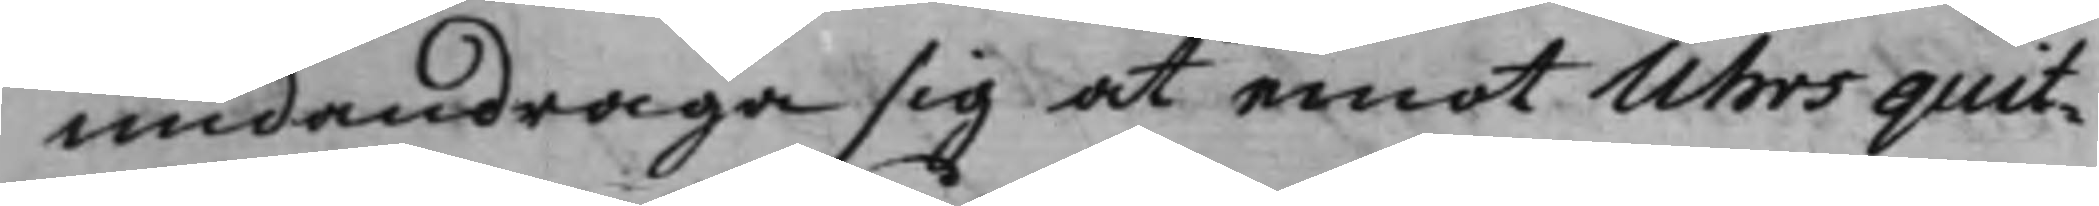undandraga sig at emot Uhrs quit¬
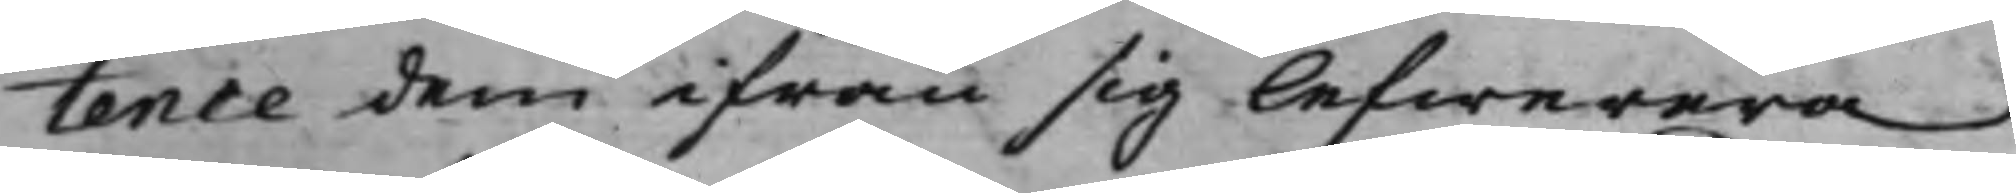tence dem ifrån sig lefwerera.
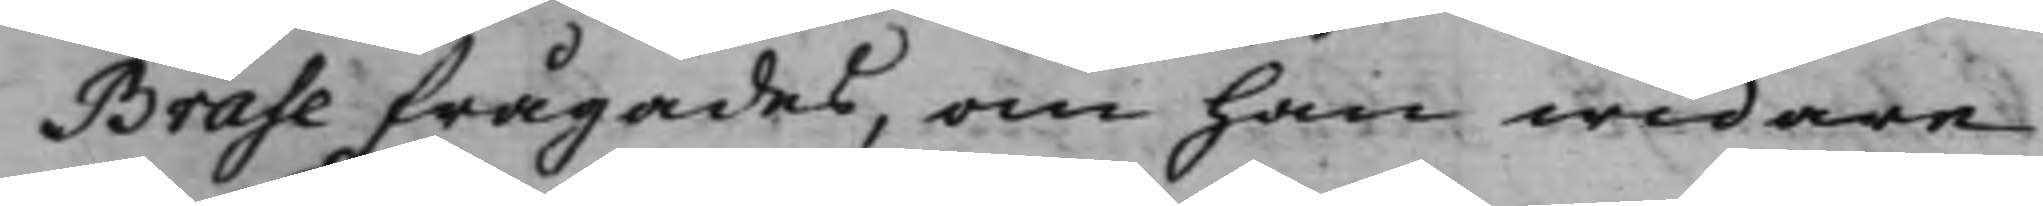Brase frågades, om han widare
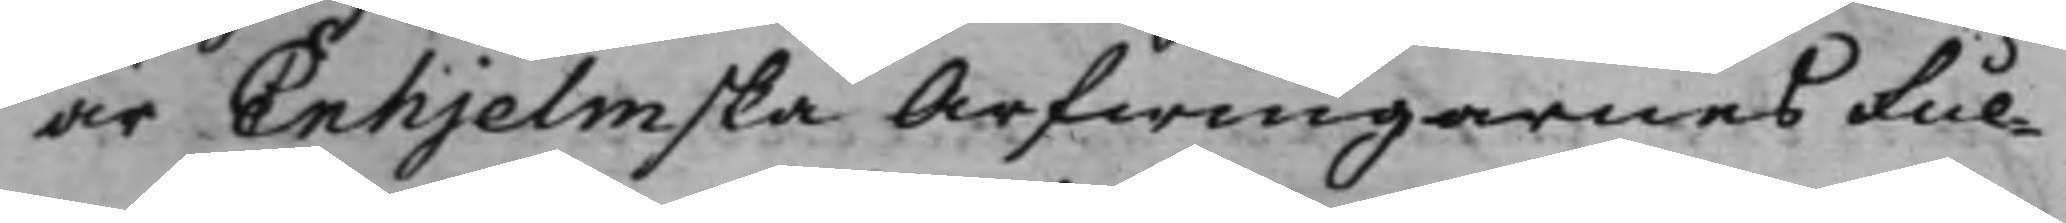är Enhjelmska Arfwingarnes Ful¬
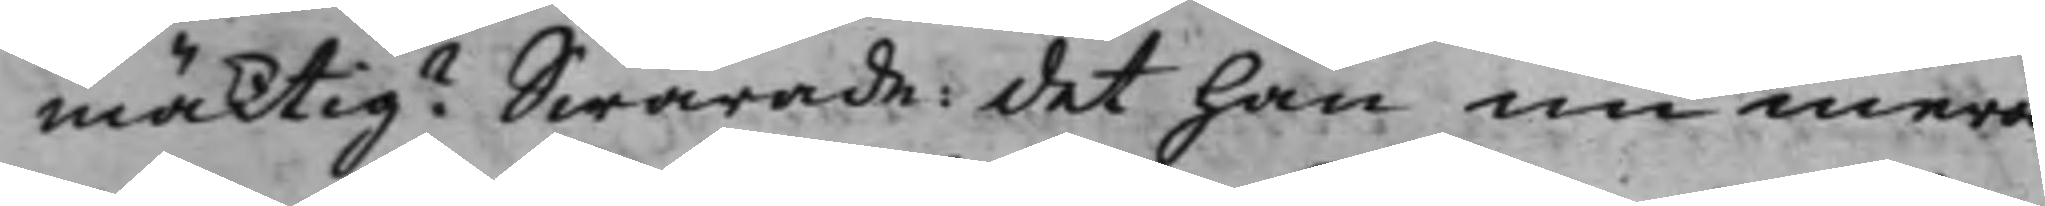mäktig? Swarade: det han nu mera
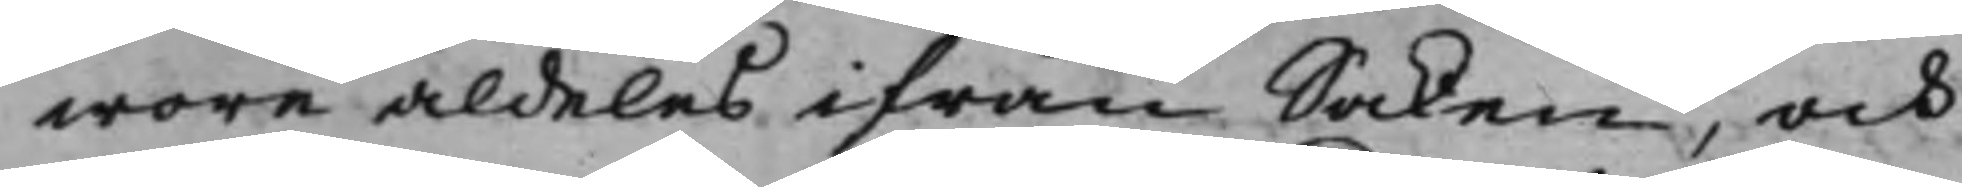wore aldeles ifrån Saken, och
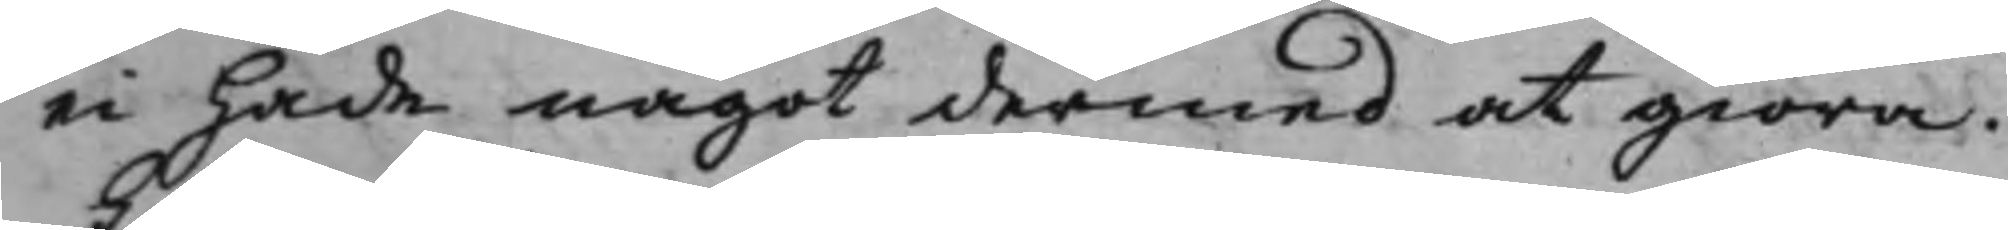ei hade något dermed at giöra.
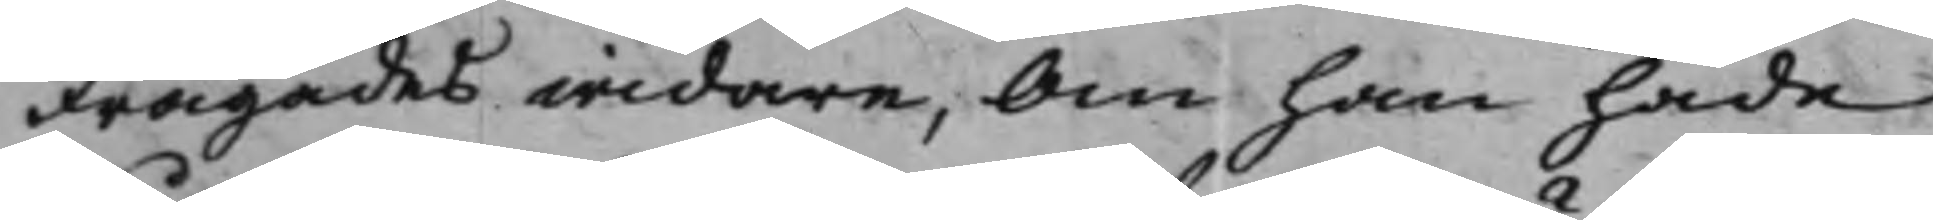Frågades widare, Om han hade
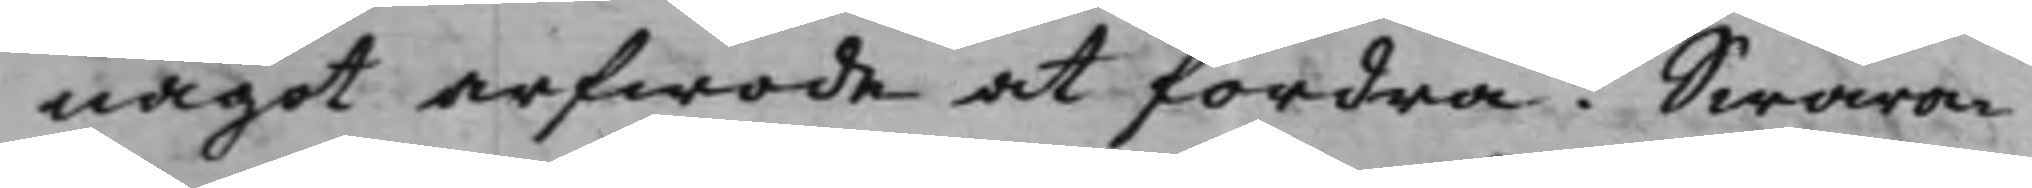något arfwode at fordra? Swara¬
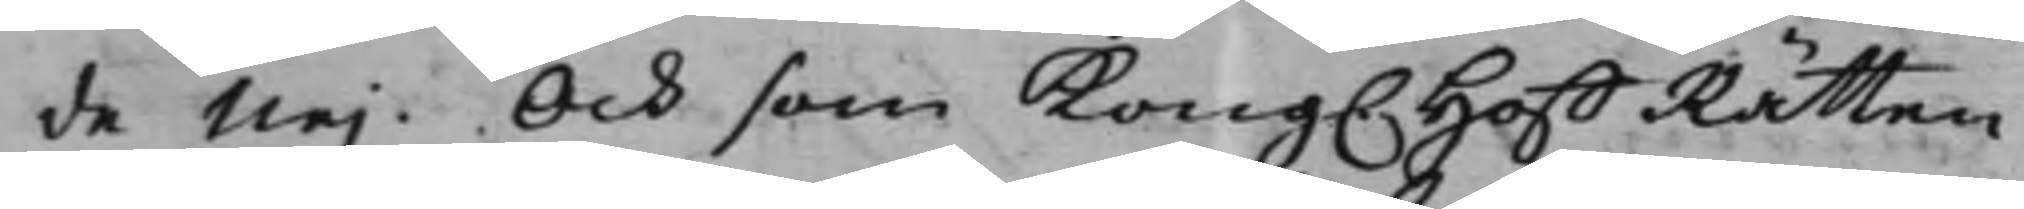de Nej. Och som Kong. HoffRätten
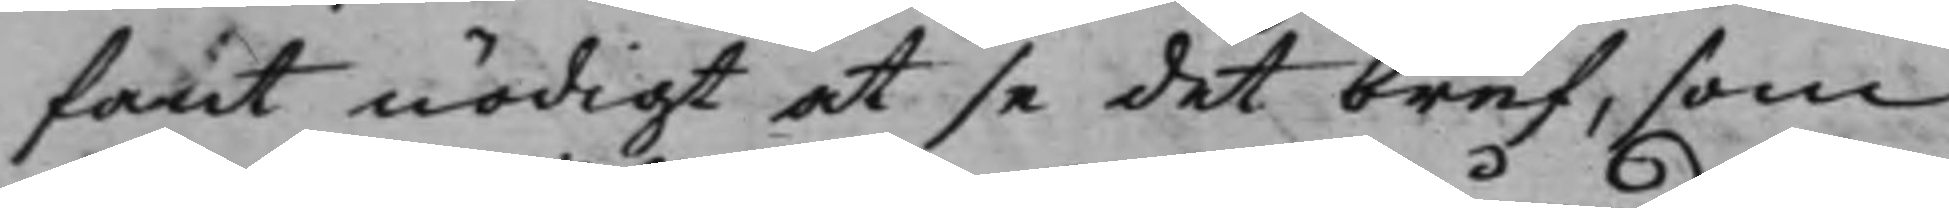fant nödigt at se det bref, som
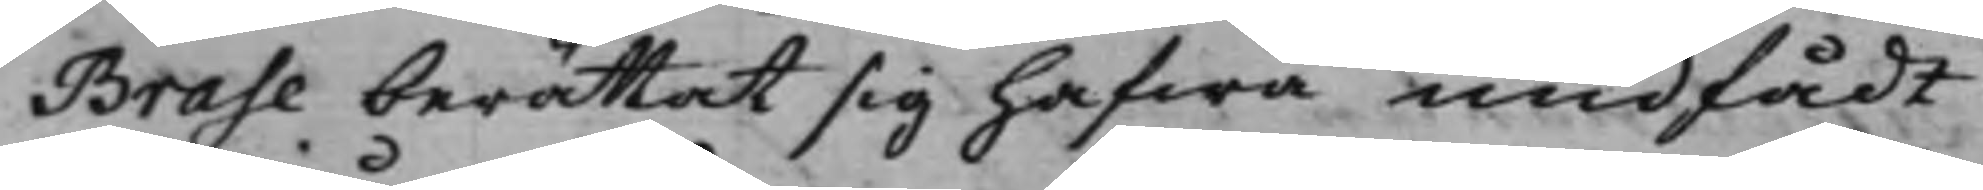Brase berättat sig hafwa undfådt
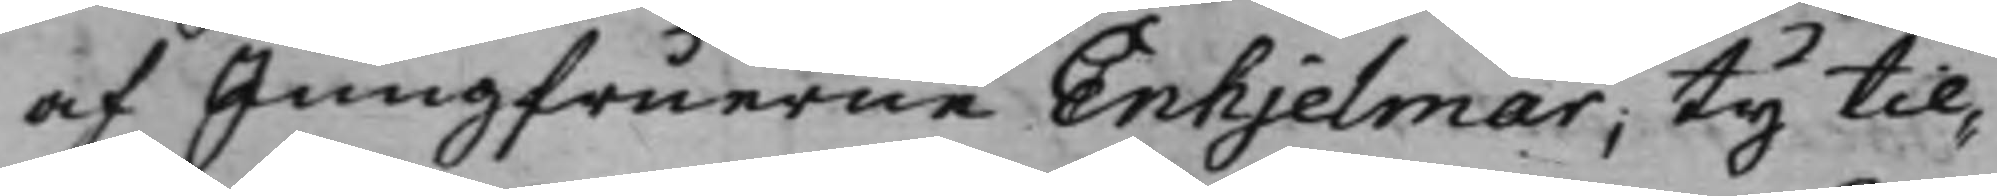af Jungfuerne Enhjelmar; Ty til¬
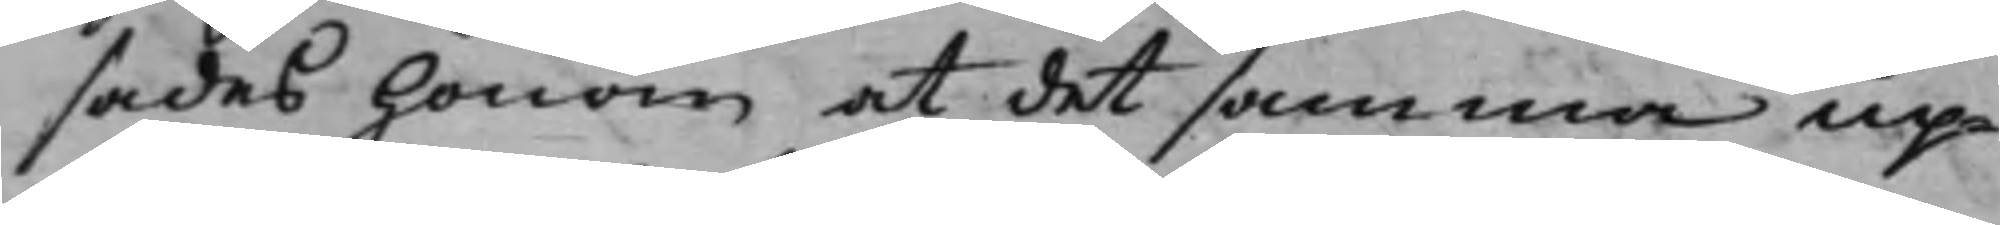sades honom at det samma up¬
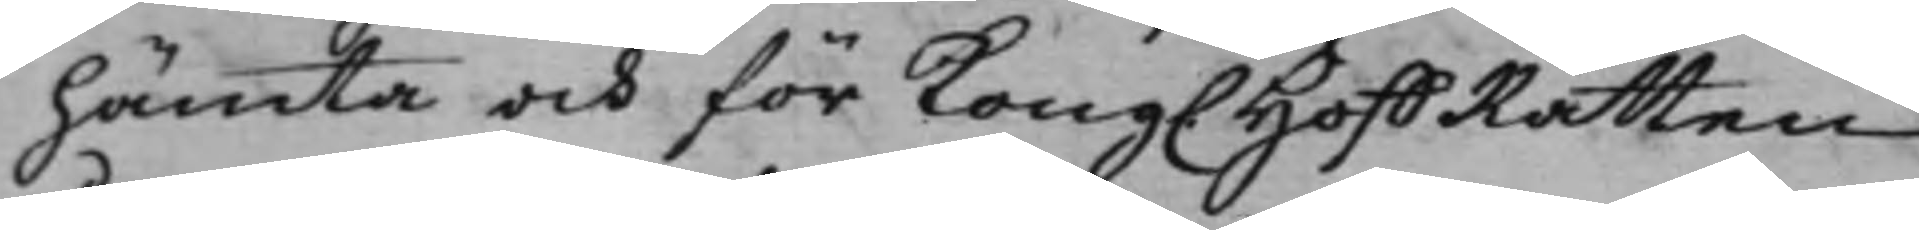hämta och för Kong. HoffRätten
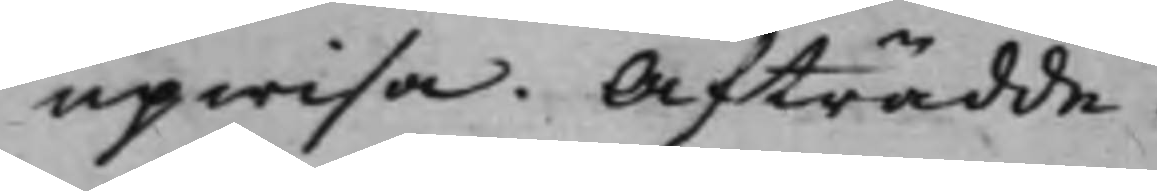upwisa. Afträdde.
